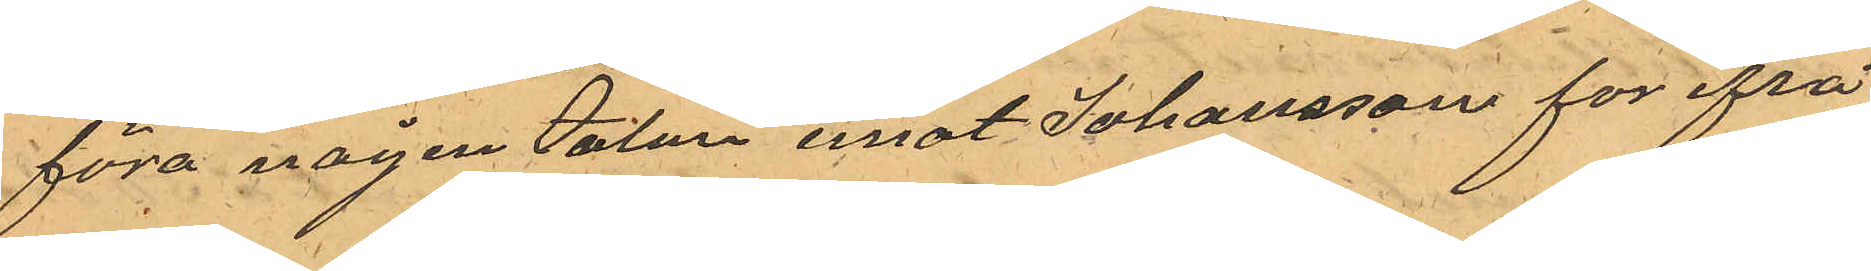föra någon talan emot Johansson för ifrå¬
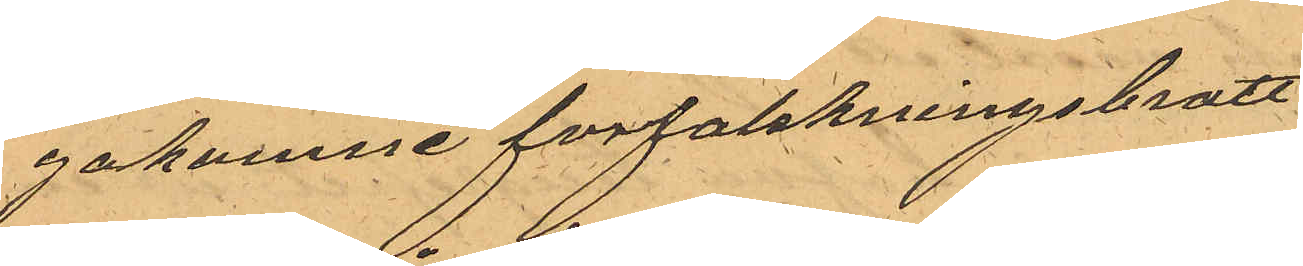gakomne förfalskningsbrott
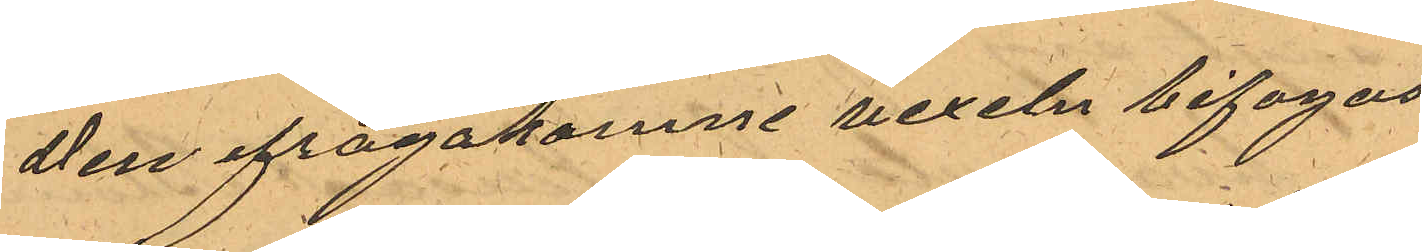Den ifrågakomne vexeln bifogas
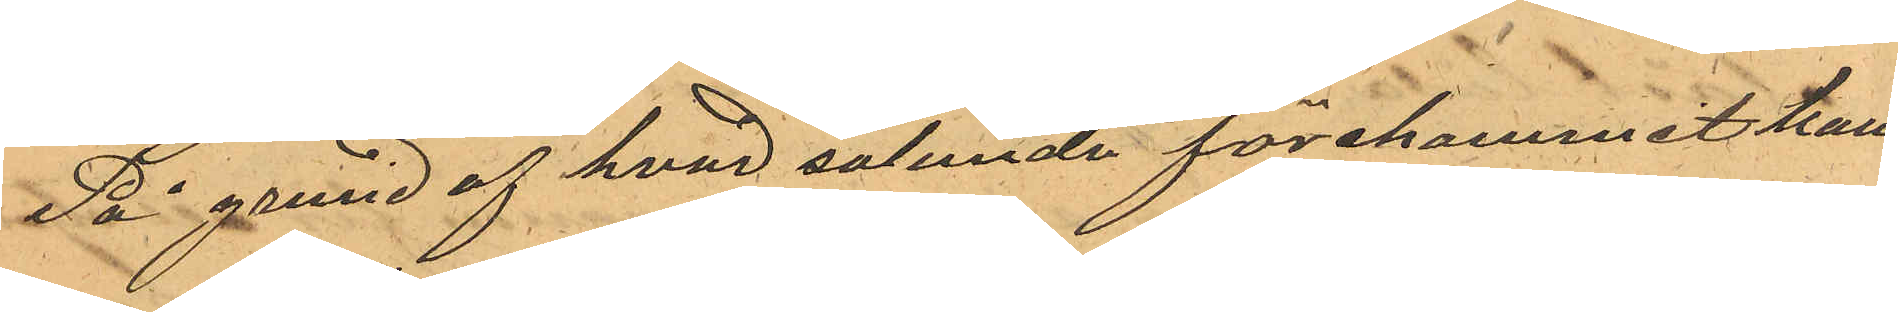På grund af hvad sålunda förekommit kom¬
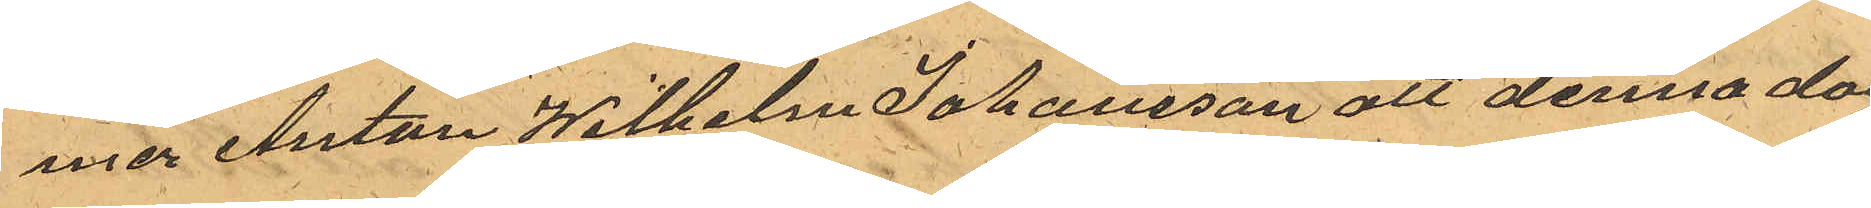mer Anton Wilhelm Johansson att denna da¬
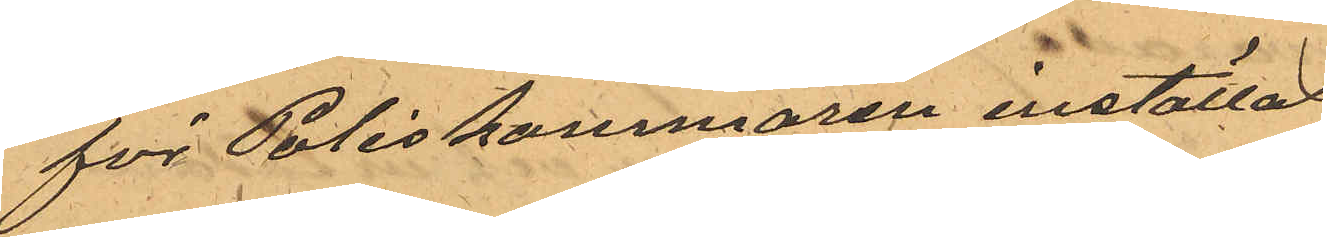för Poliskammaren inställas.
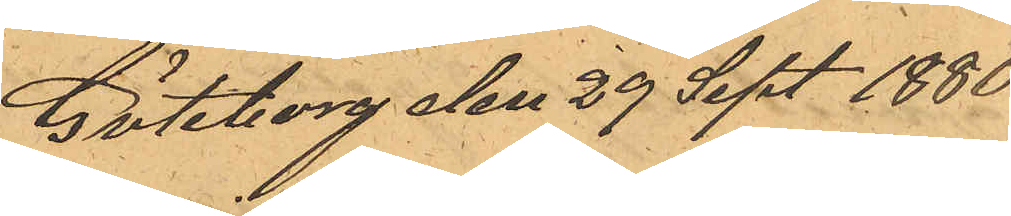Göteborg den 29 Sept. 1880.
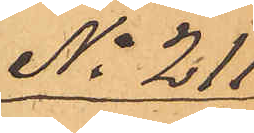No 211
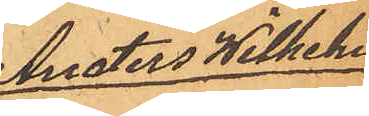Anders Wilhelm
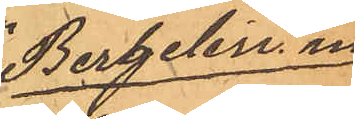Bergelin m
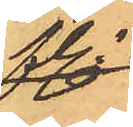fl.
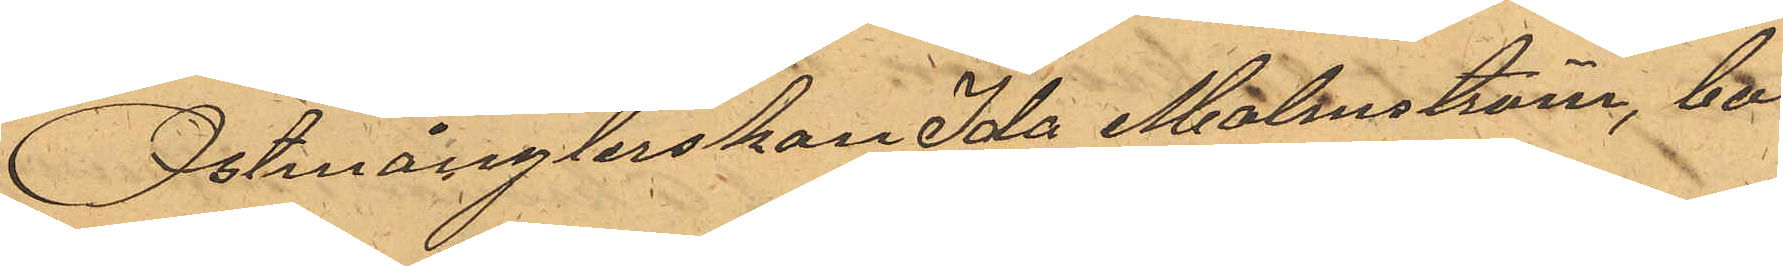Ostmånglerskan Ida Malmström, bo¬
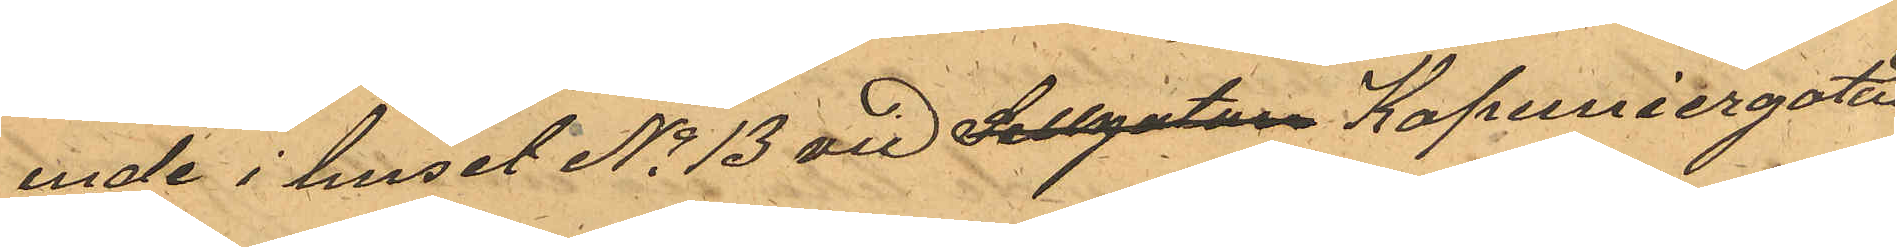ende i huset No 13 vid Sillgatan Kapuniergatan
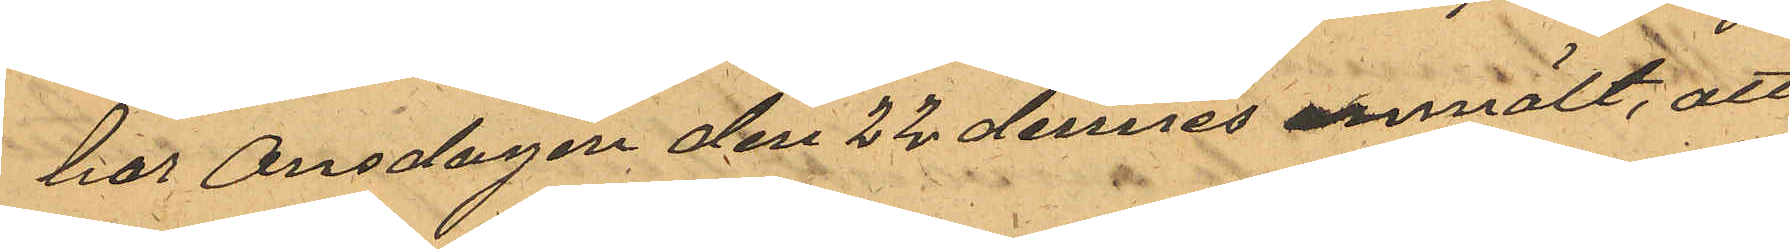har Onsdagen den 22 dennes anmält, att
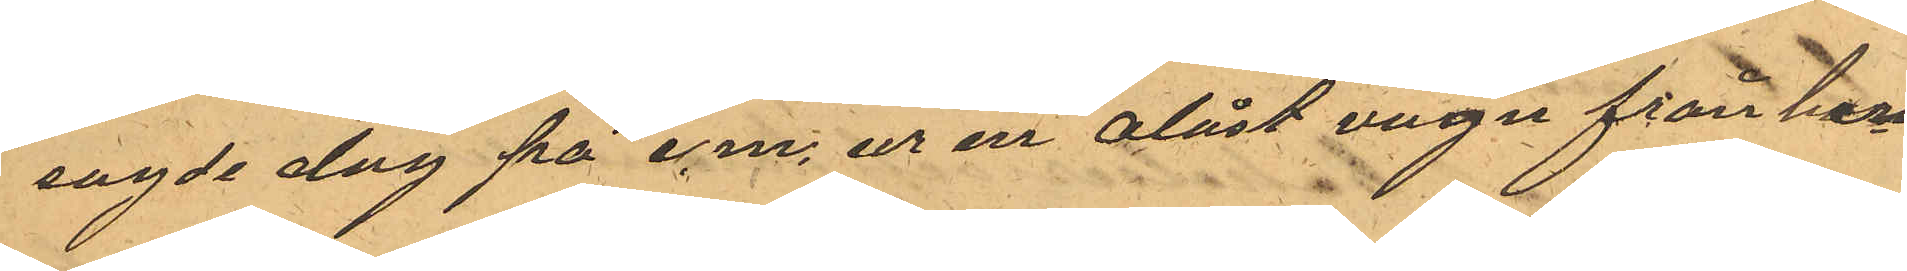sagde dag på e.m. ur en olåst vagn från hen¬
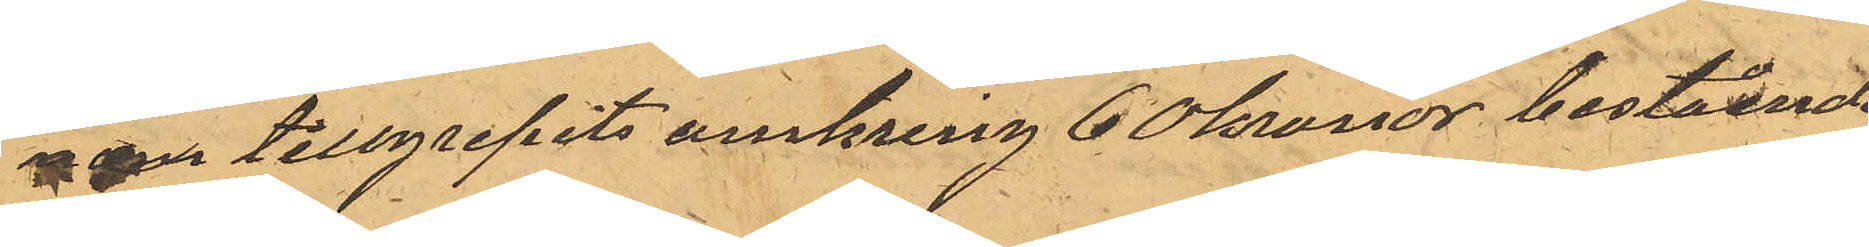ne tillgripits omkring 60 kronor bestående
